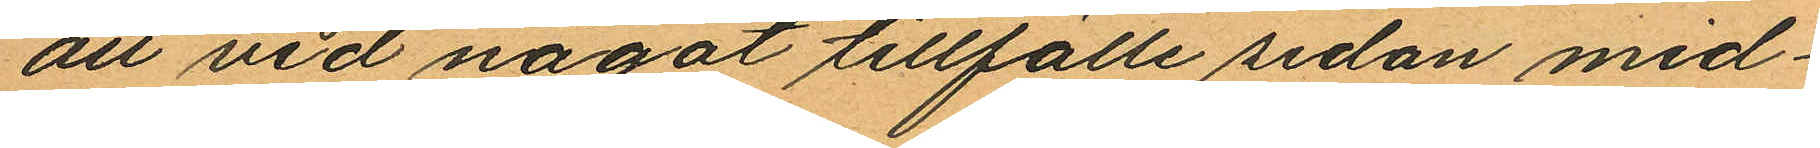att vid något tillfälle sedan mid¬
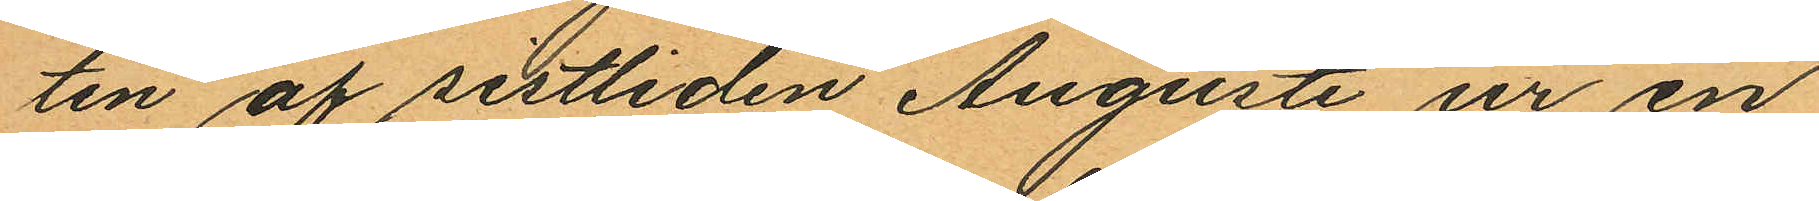ten af sistliden Augusti ur en
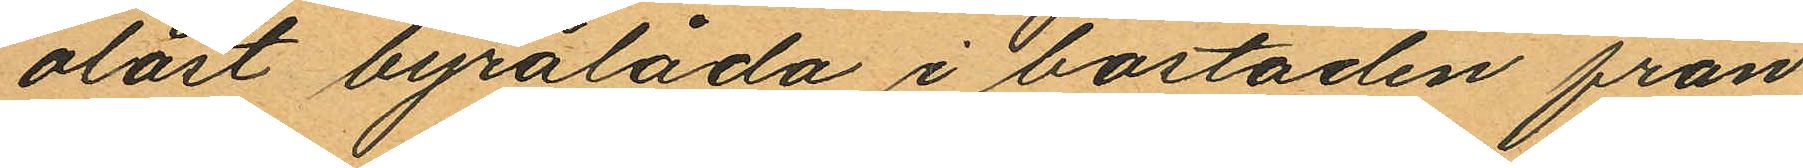olåst byrålåda i bostaden från
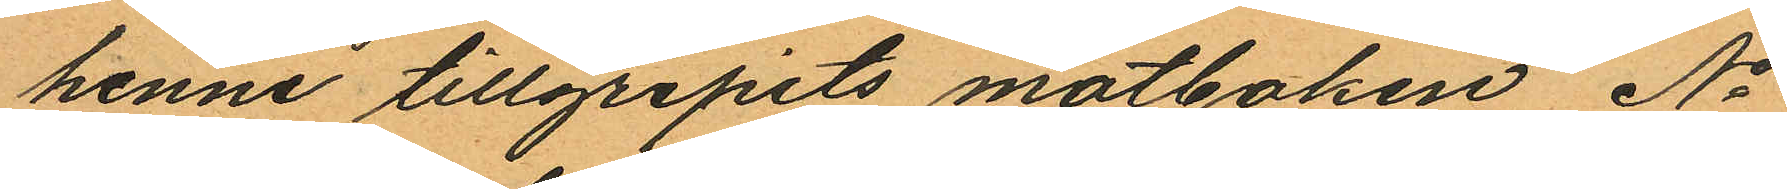henne tillgripits motboken No
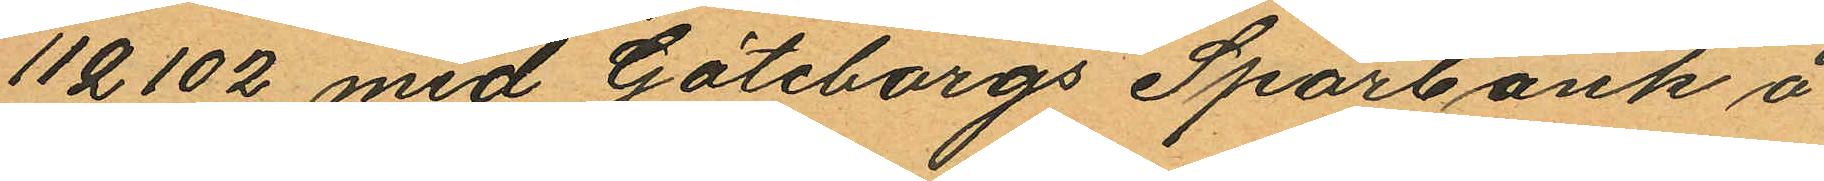112102 med Göteborgs Sparbank å
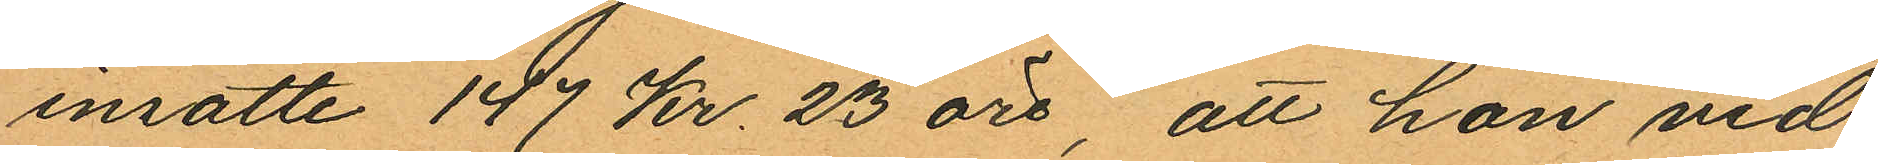insatte 147 Kr. 23 öre, att hon vid
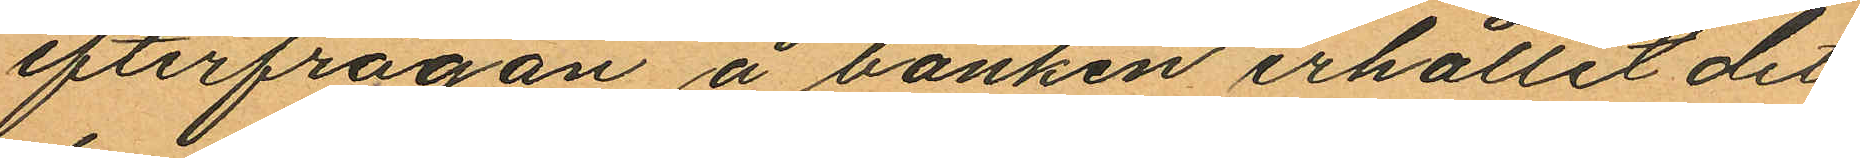efterfrågan å banken erhållit det
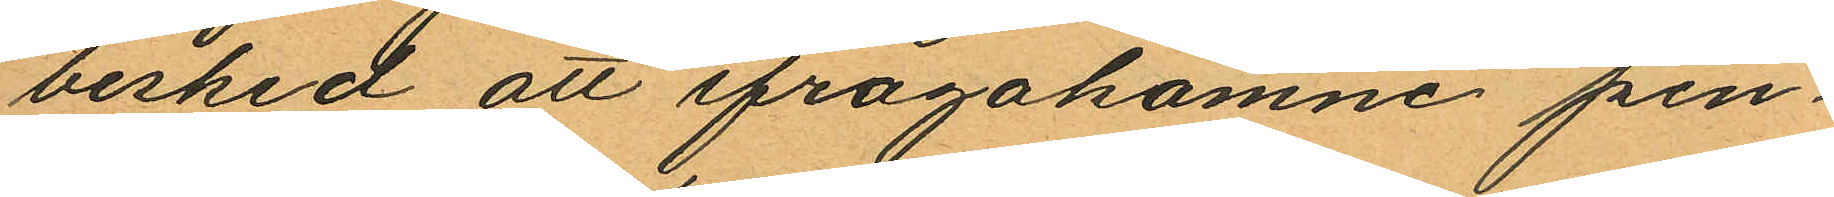besked att ifrågakomne pen¬
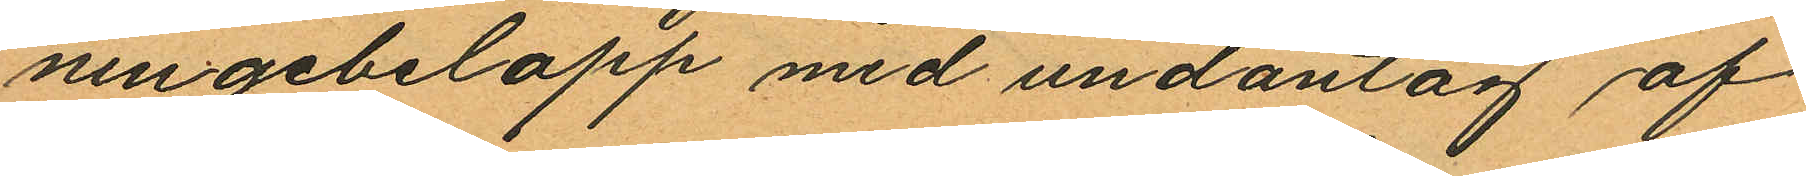ningebelopp med undantag af
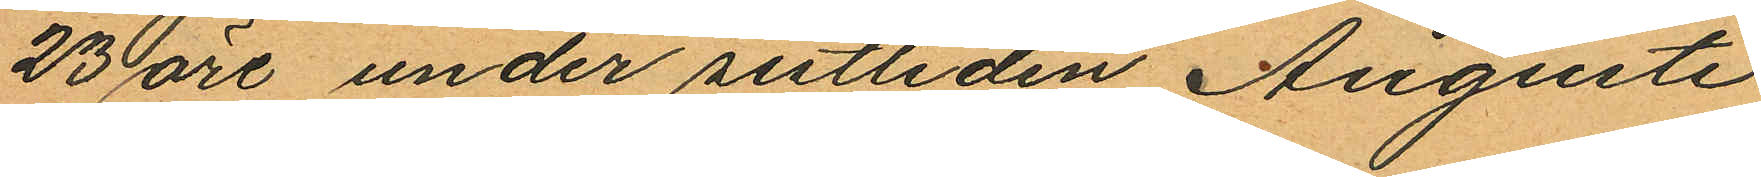23 öre under sistliden Augusti
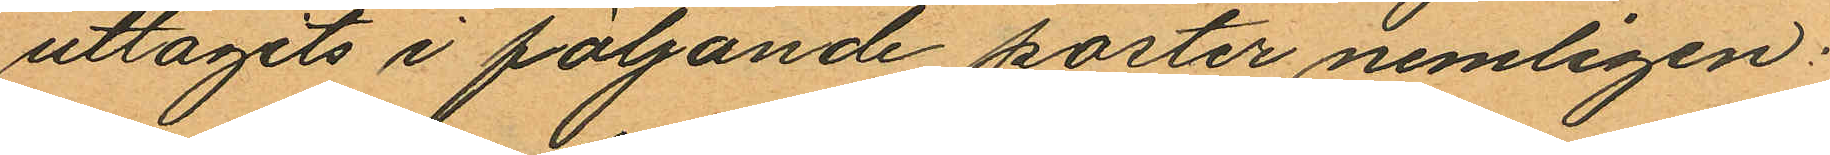uttagits i följande poster nemligen:
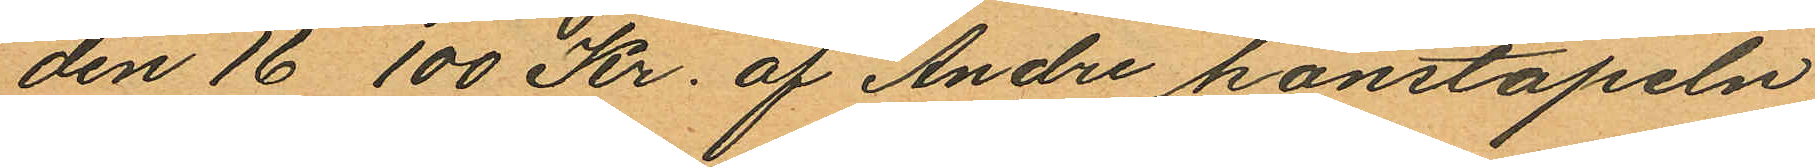den 16 100 Kr. af Andre konstapeln
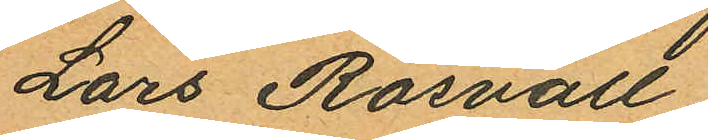Lars Rosvall.
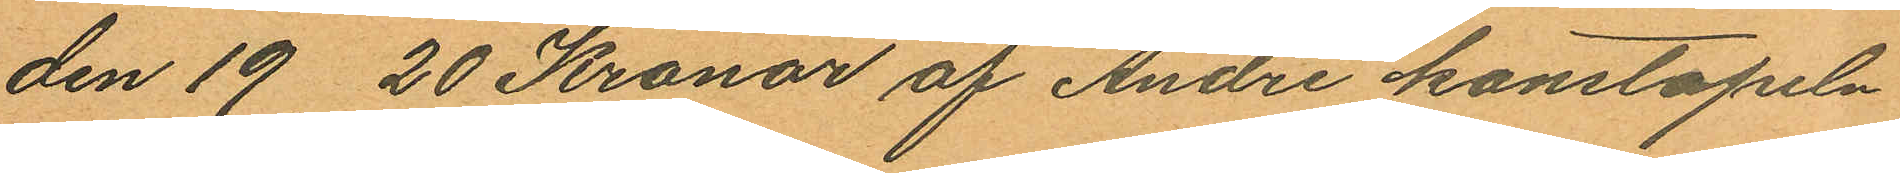den 19 20 Kronor af Andre konstapeln
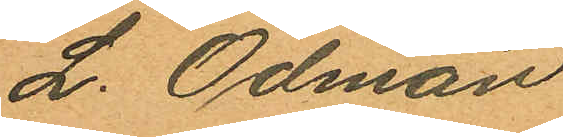L. Ödman
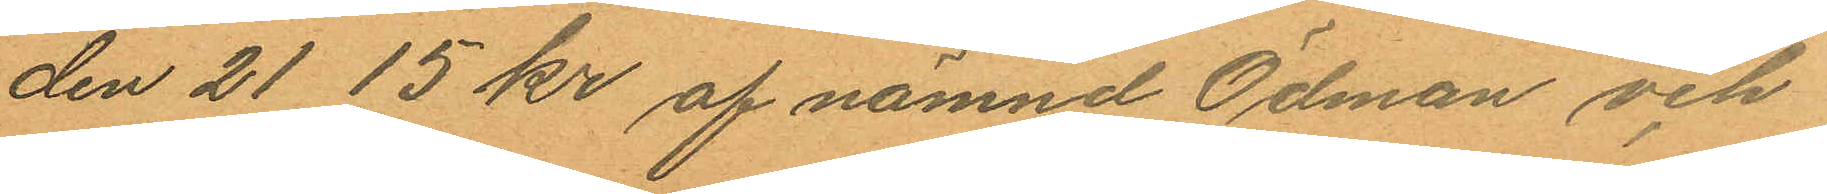den 21 15 kr af nämnd Ödman och
